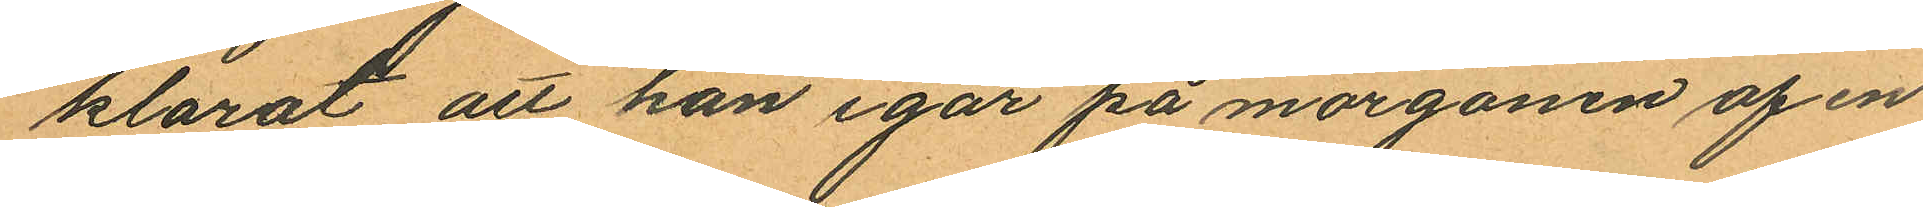klarat att han igår på morgonen af en
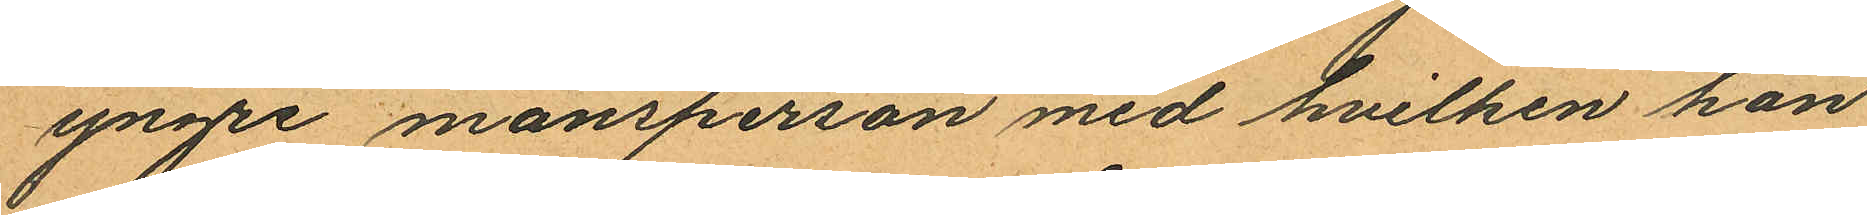yngre mansperson med hvilken han
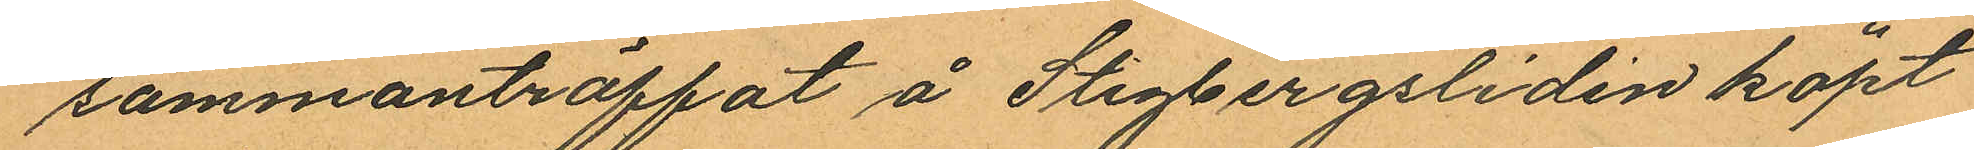sammanträffat å Stigbergsliden köpt
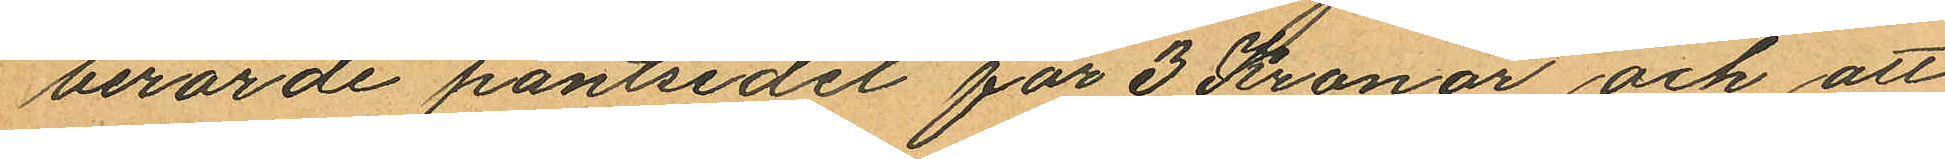berörde pantsedel för 3 Kronor och att
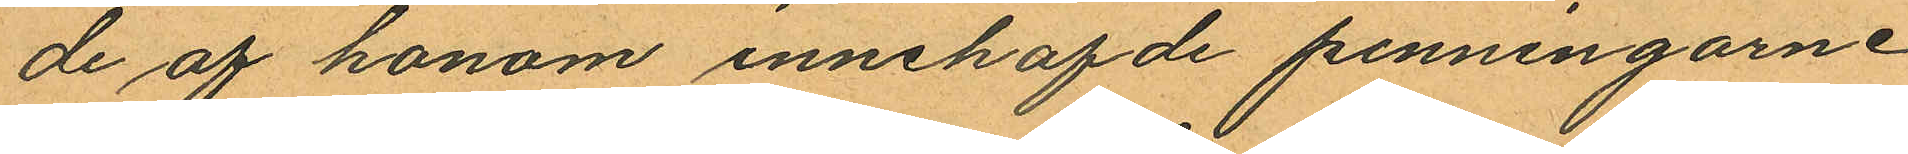de af honom innehafde penningarne
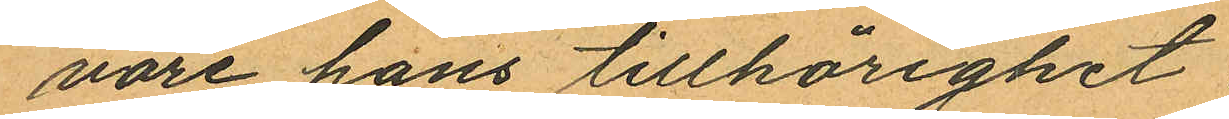vore hans tillhörighet
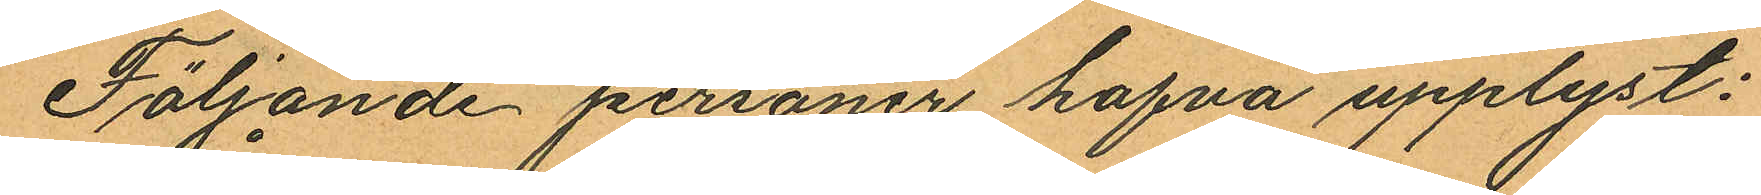Följande personer hafva upplyst:
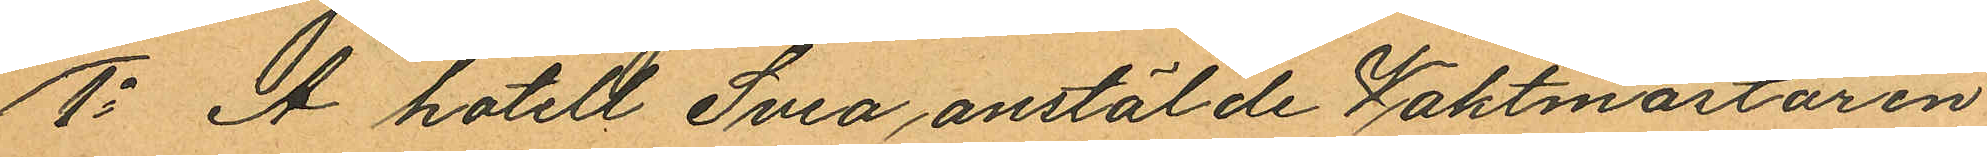1o Å hotell Svea, anstälde Waktmästaren
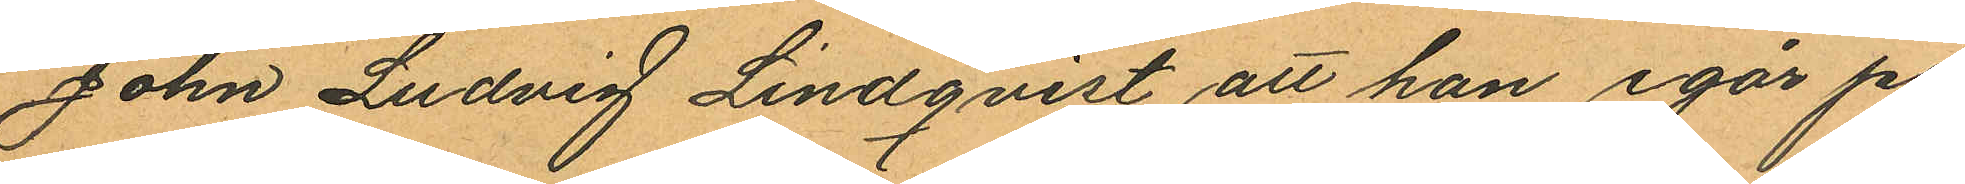John Ludvig Lindqvist att han igår på
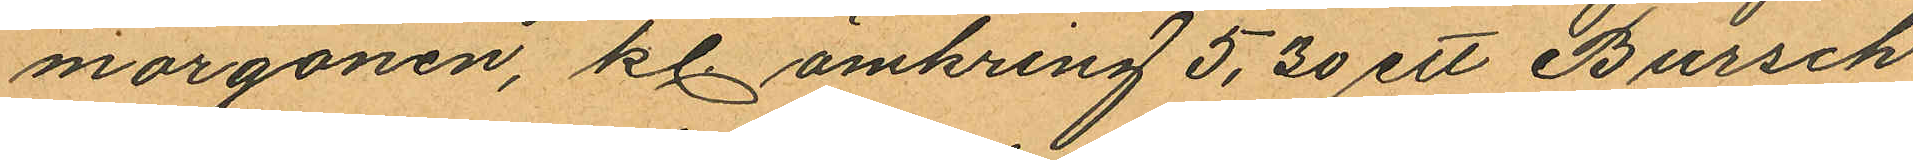morgonen, kl. omkring 5,30 ett Bursch
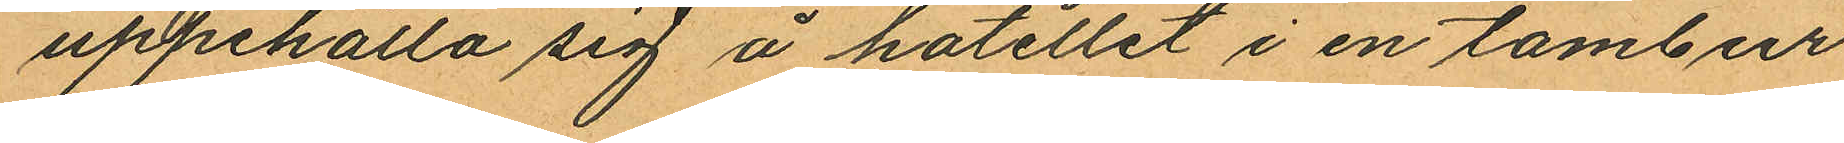uppehålla sig å hotellet i en tambur
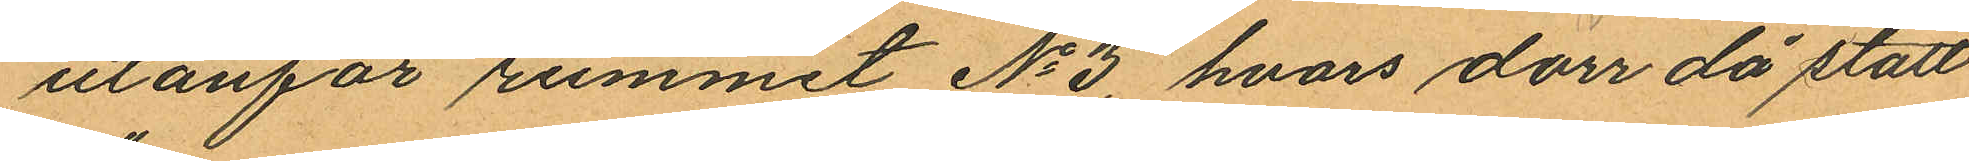utanför rummet No 3, hvars dörr då stått
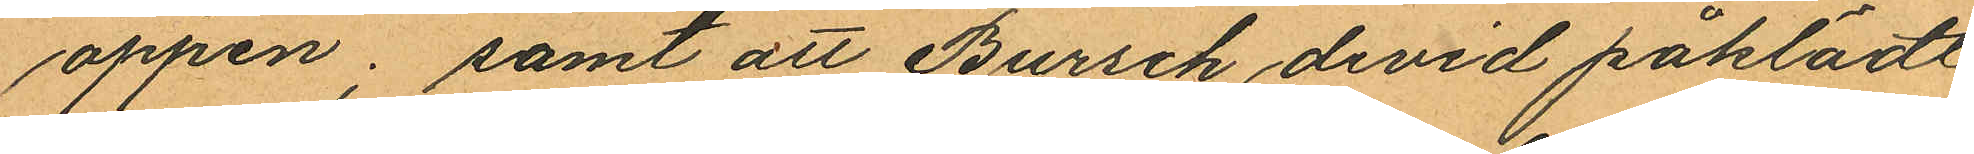öppen; samt att Bursch devid påklädt
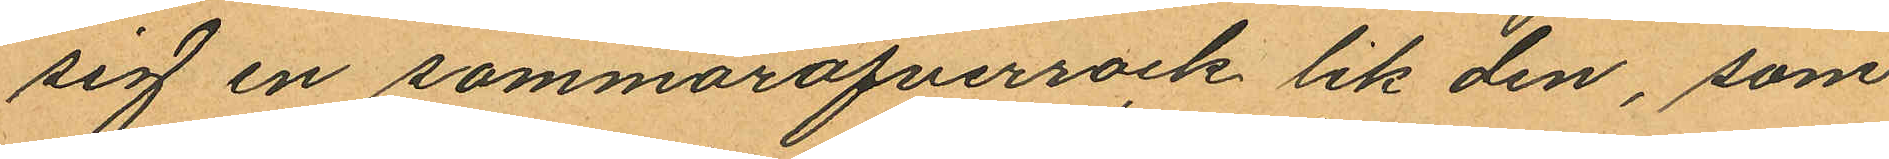sig en sommaröfverrock lik den, som
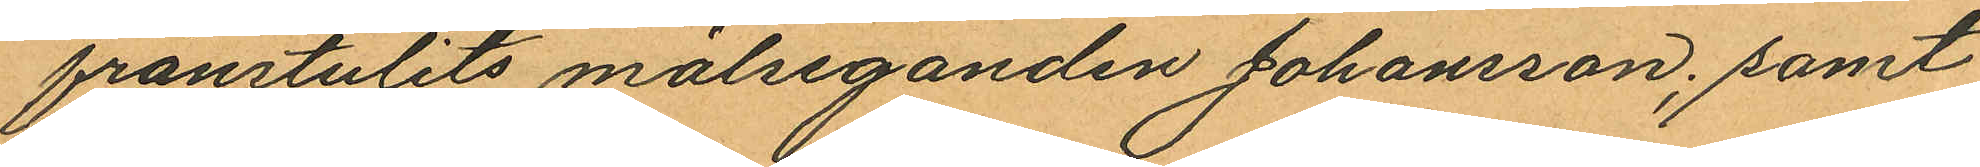frånstulits målseganden Johansson; samt
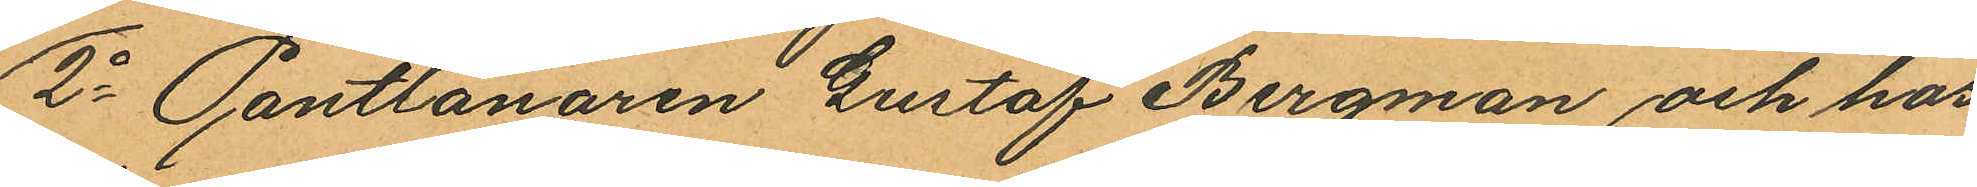2o Pantlånaren Gustaf Bergman och hos
